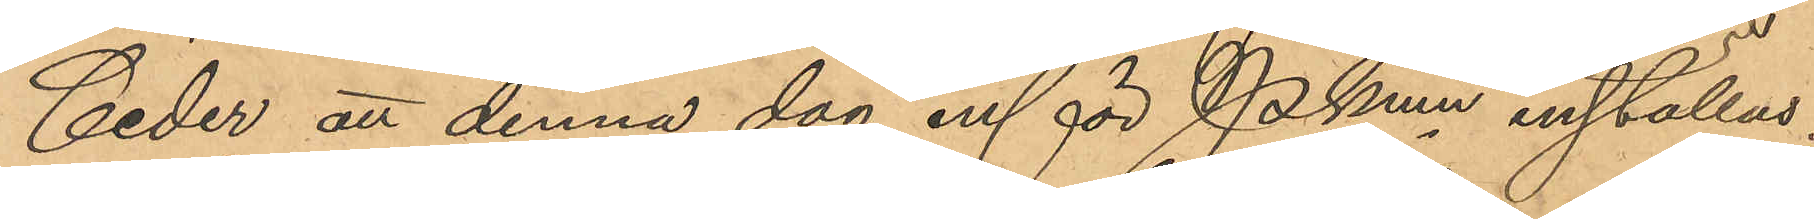Ceder att denna dag inför Pkmn inställas.
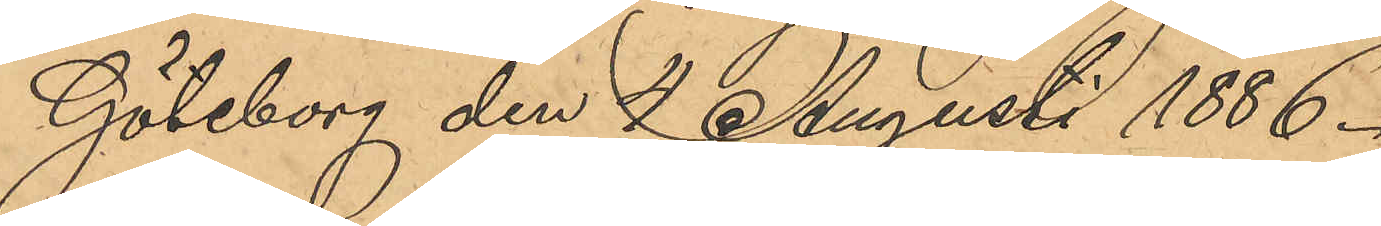Göteborg den 4 Augusti 1886.
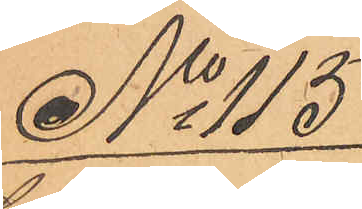No 115
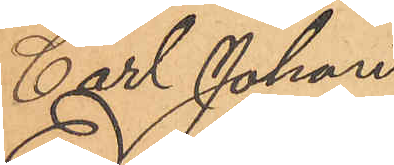Carl Johan
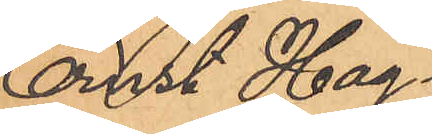Ernst Hag¬
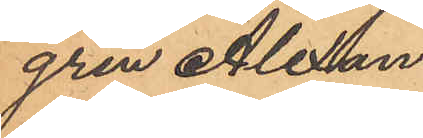gren Alexan¬
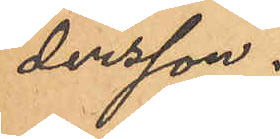dersson.
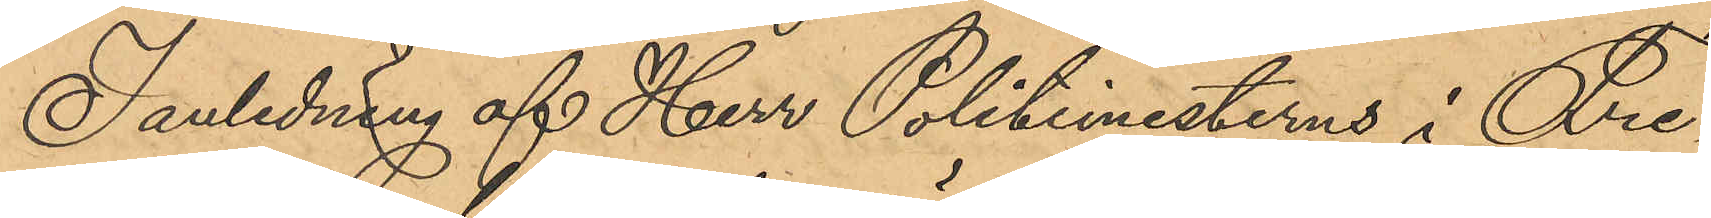I anledning af Herr Politimesterns i Fre¬
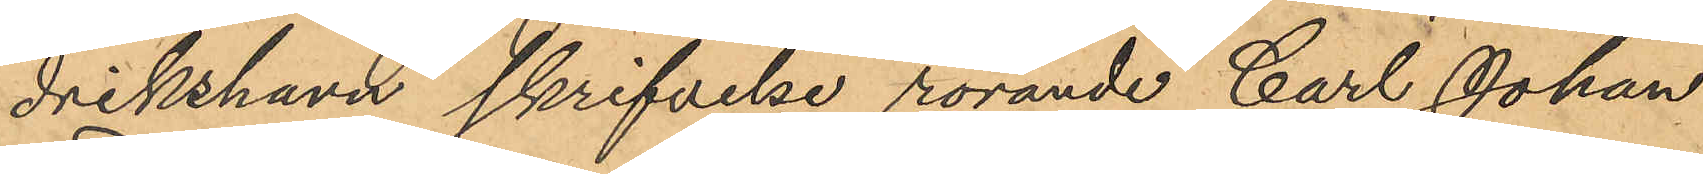drikshavn skrifvelse rörande Carl Johan
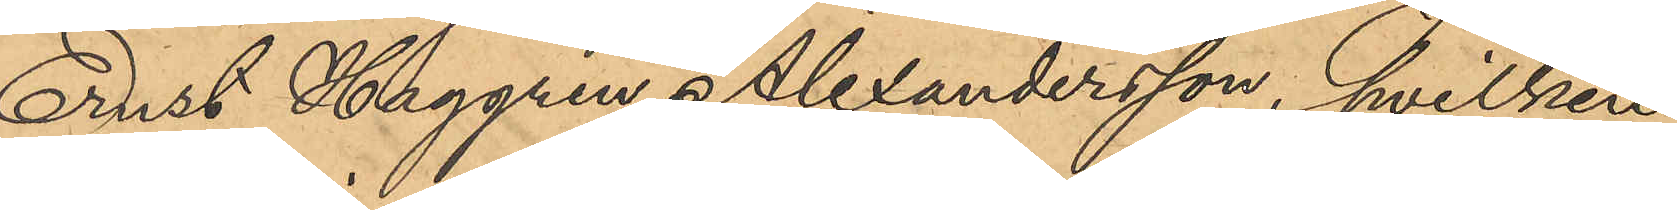Ernst Haggren Alexandersson, hvilken
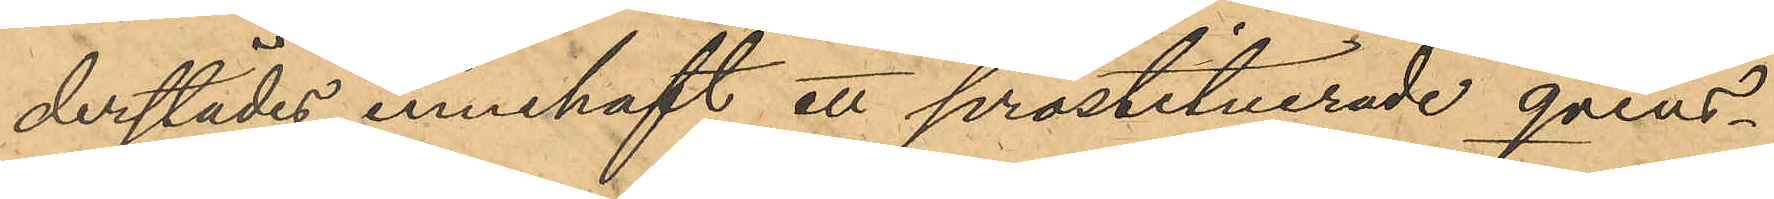derstädes innehaft ett prostituerade qvins¬
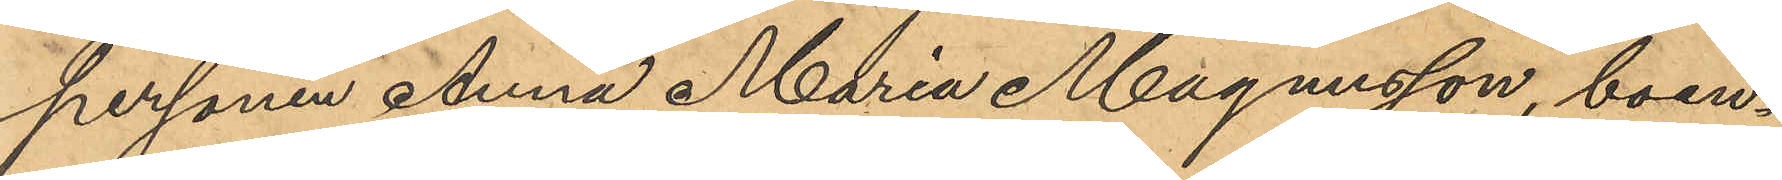personen Anna Maria Magnusson, boen¬
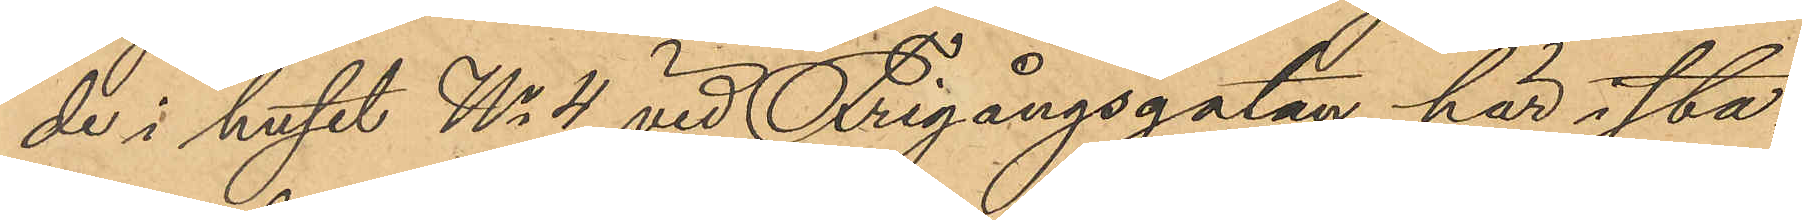de i huset No 4 vid Frigångsgatan här i sta¬
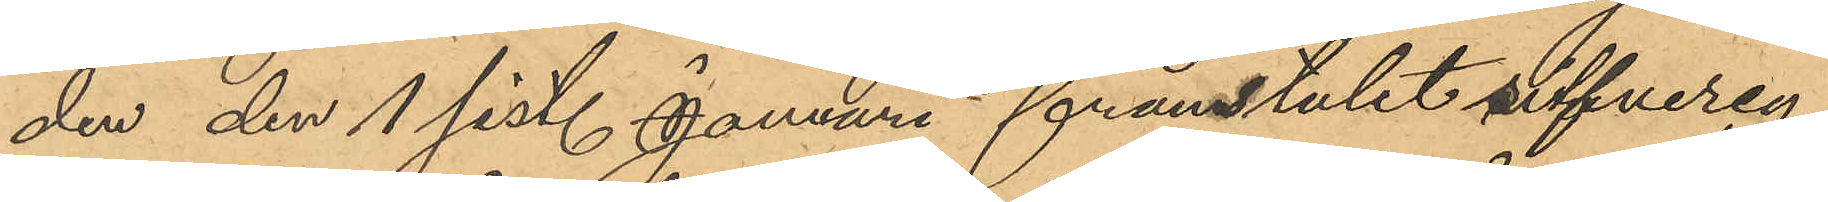den den 1 sist. Januari frånstulet silfvercy¬
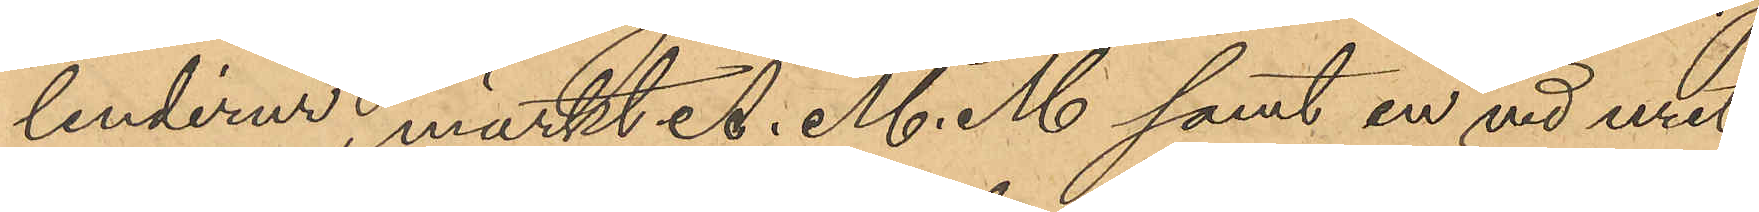linderur, märkt A. M. M samt en vid uret
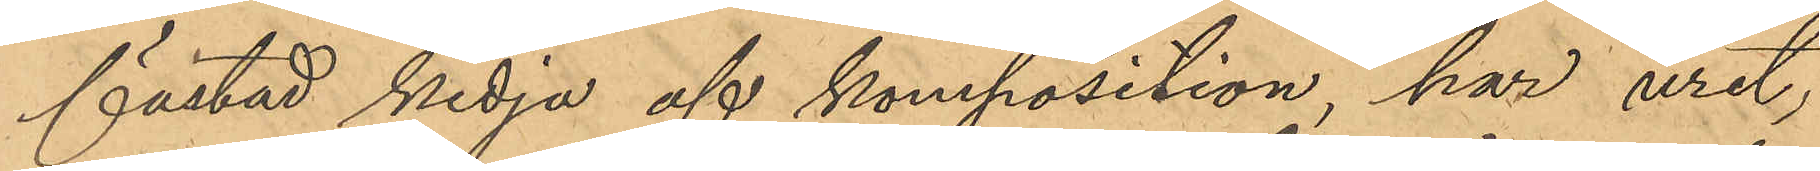fästad kedja af komposition, har uret,
